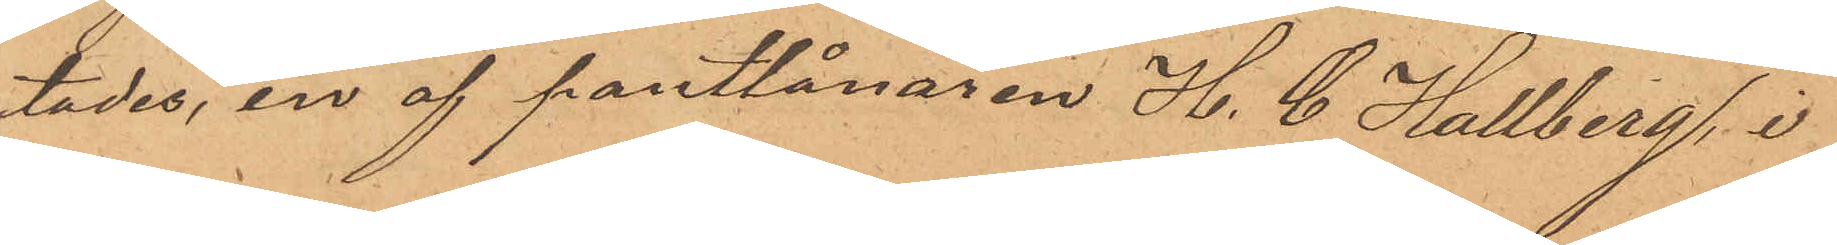städes, en af pantlånaren H. C. Hallberg, i
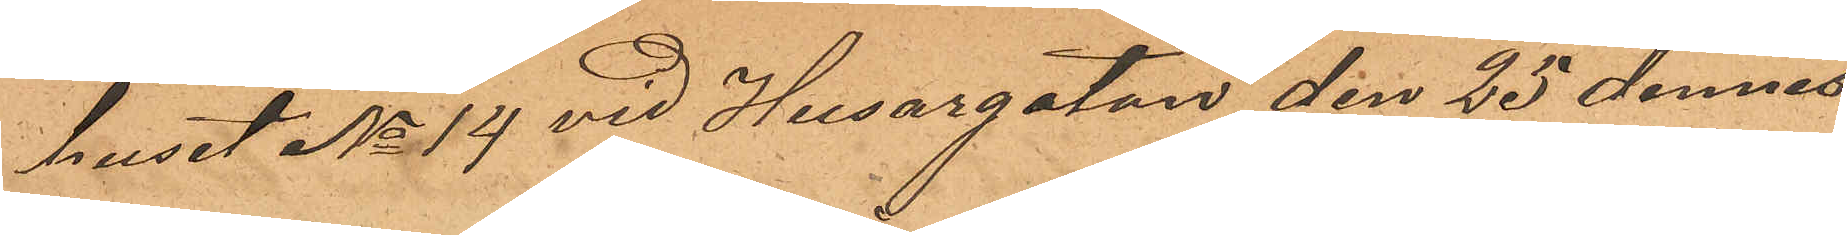huset No 14 vid Husargatan den 25 dennes
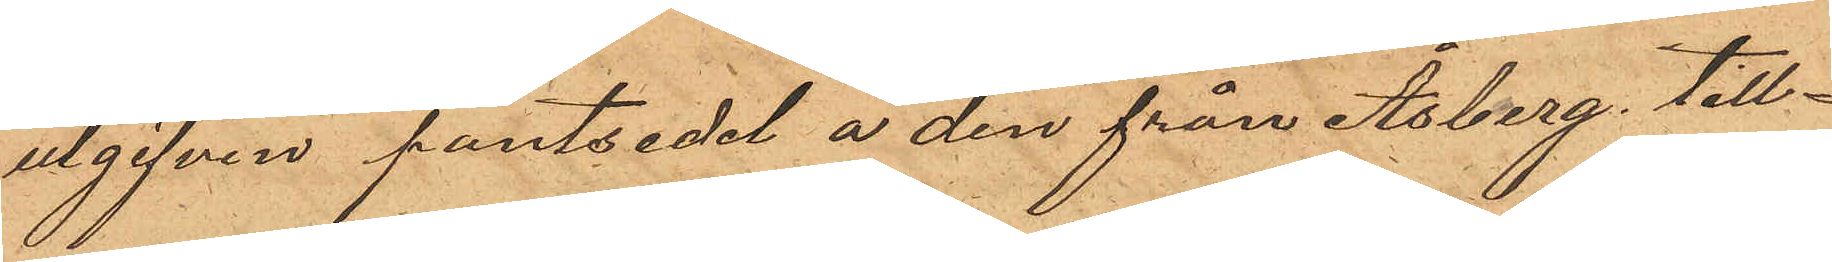utgifven pantsedel å den från Åsberg till¬
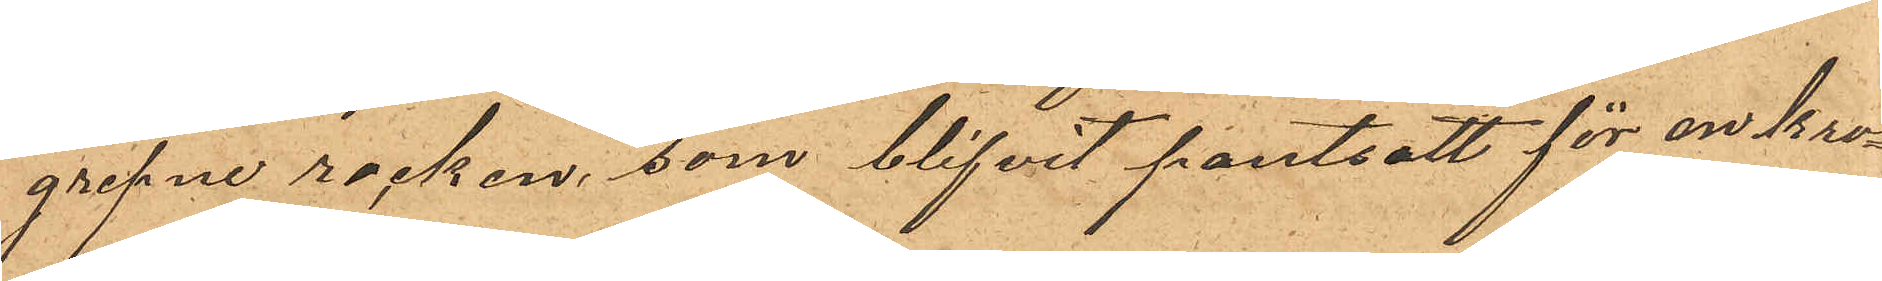grepne rocken, som blifvit pantsatt för en kro¬
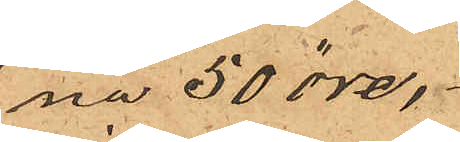na 50 öre,
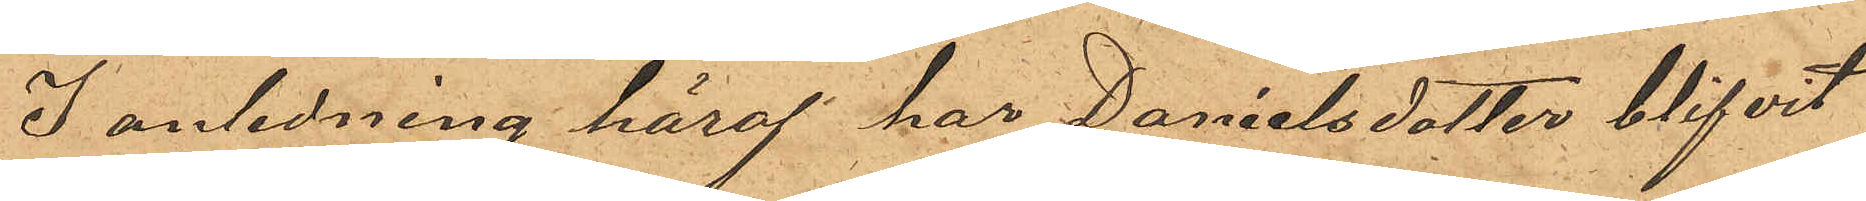I anledning häraf har Danielsdotter blifvit
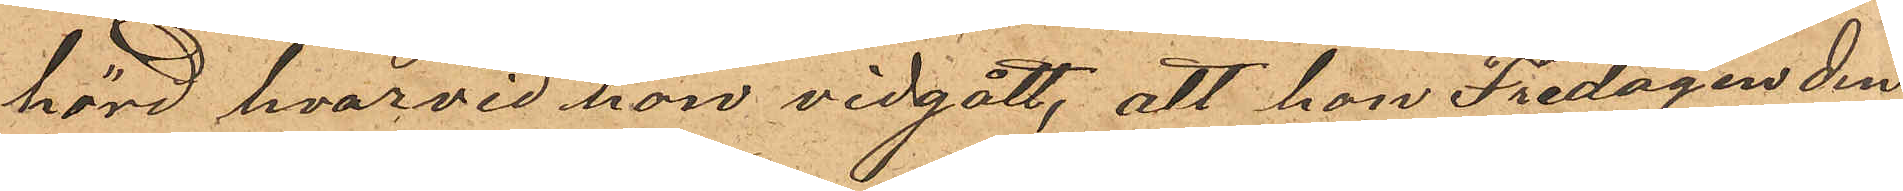hörd, hvarvid hon vidgått, att hon Fredagen den
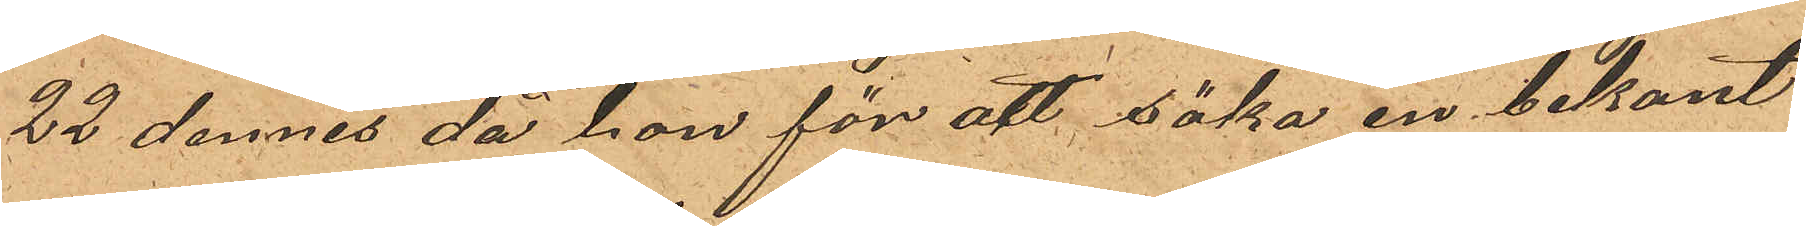22 dennes då hon för att söka en bekant
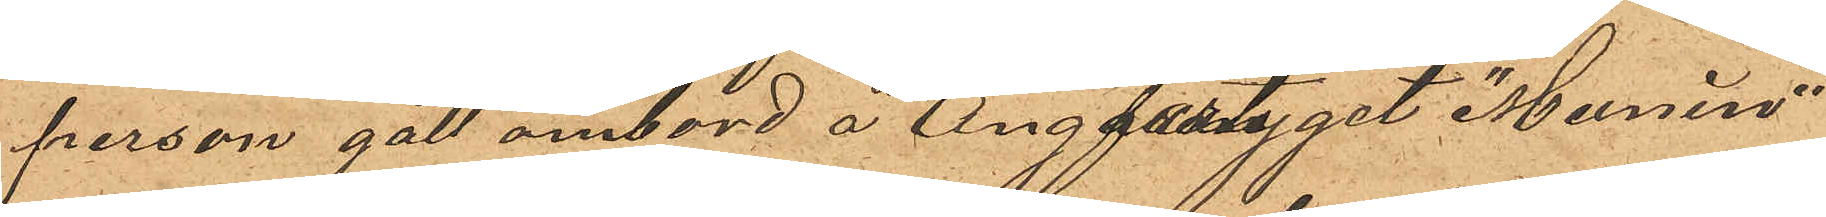person gått ombord å Ångfartyget "Munin"
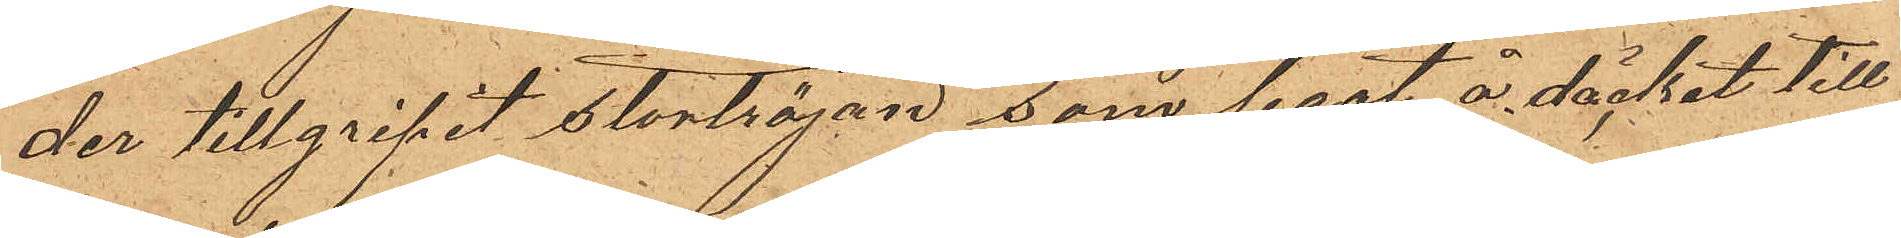der tillgripit stortröjan, som legat å däcket till
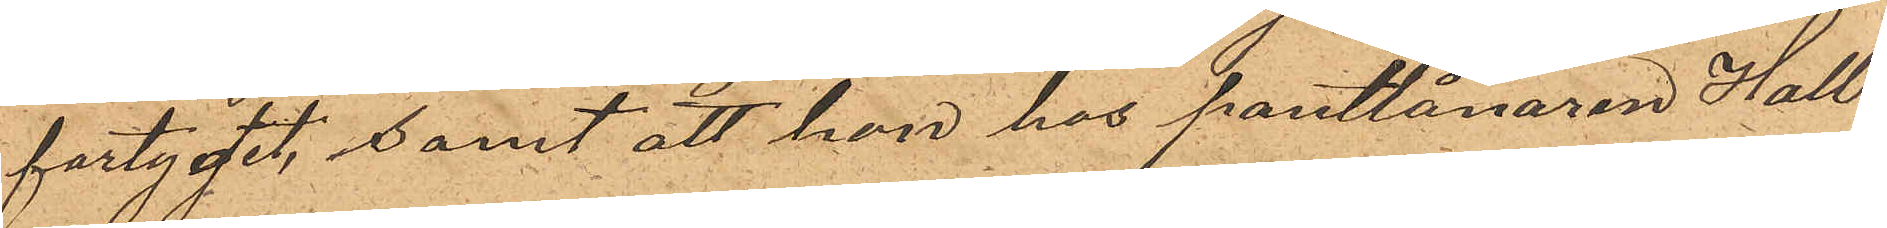fartyget, samt att hon hos Pantlånaren Hall¬
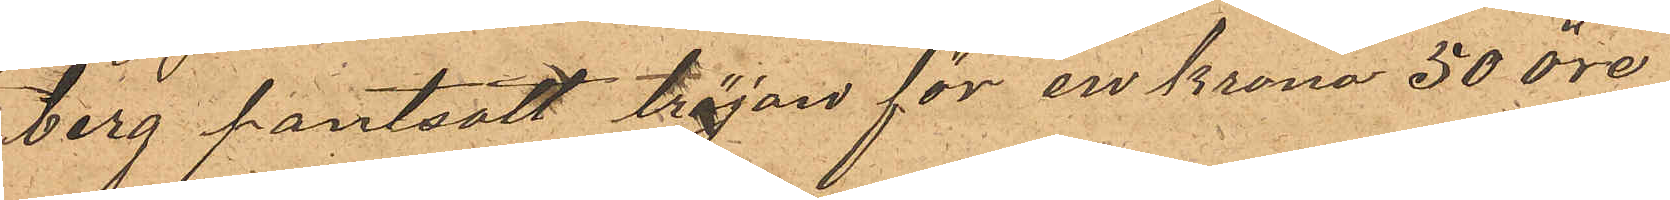berg pantsatt tröjan för en krona 50 öre,
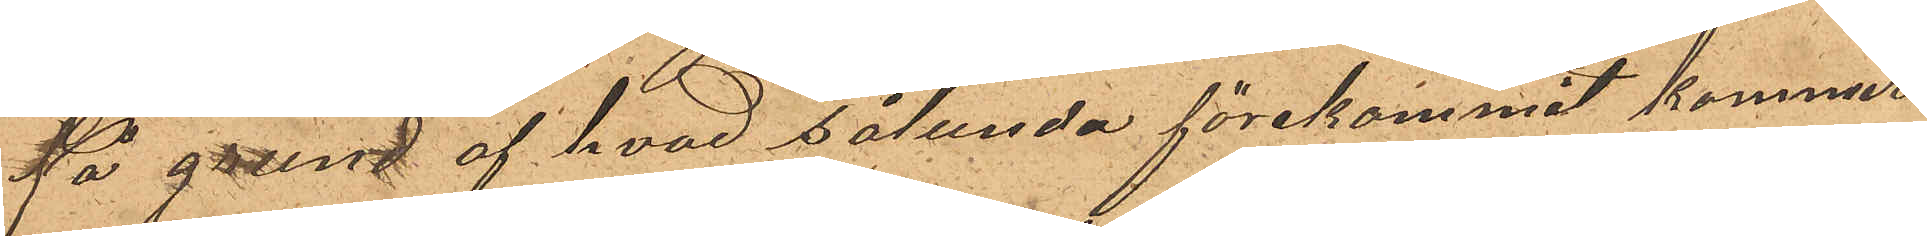På grund af hvad sålunda förekommit kommer
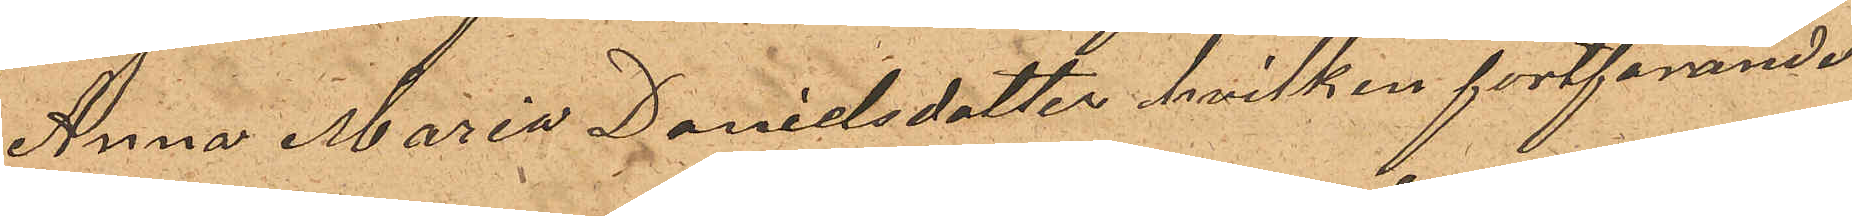Anna Maria Danielsdotter hvilken fortfarande
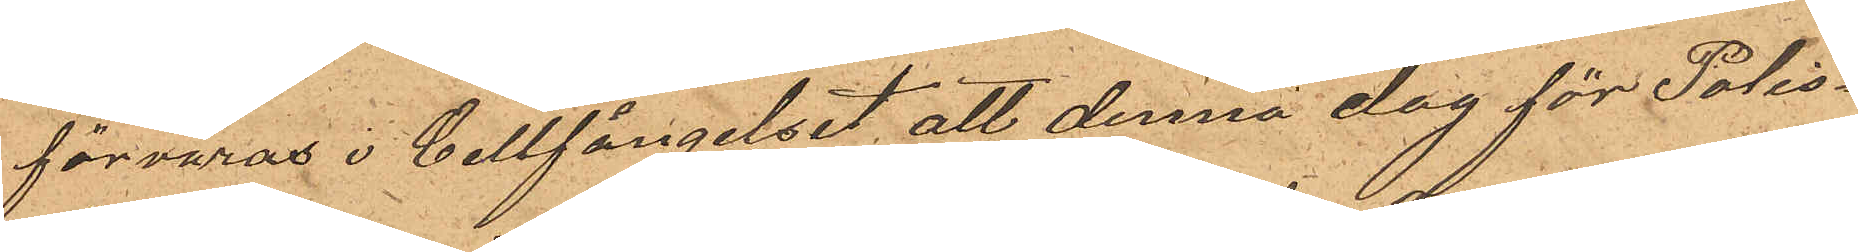förvaras i Cellfängelset, att denna dag för Polis¬
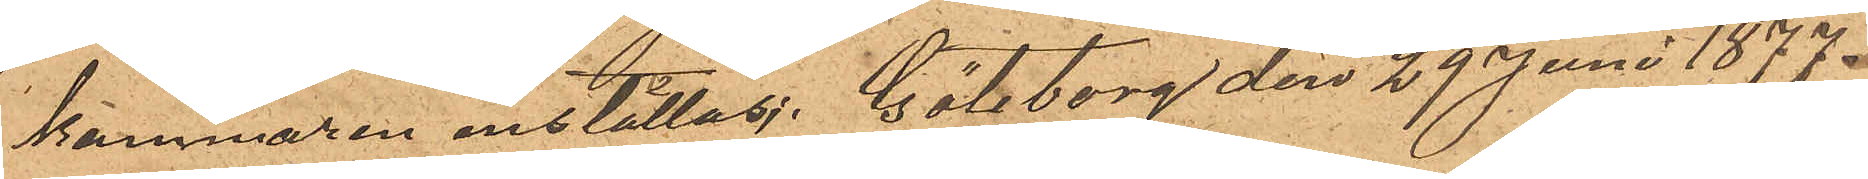kammaren inställas. Göteborg den 29 Juni 1877.
